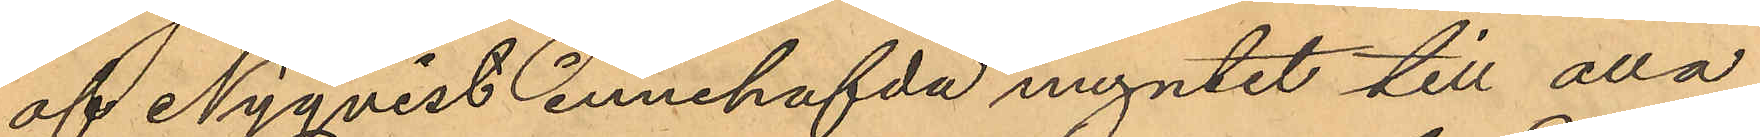af Nyqvist innehafda myntet till alla
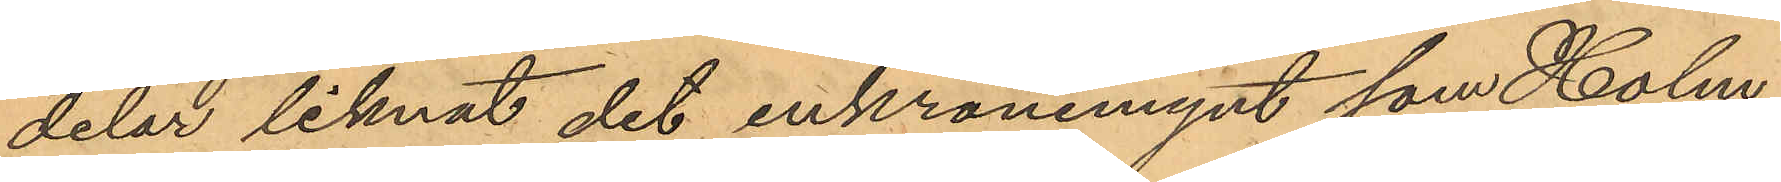delar liknat det enkronemynt, som Holm¬
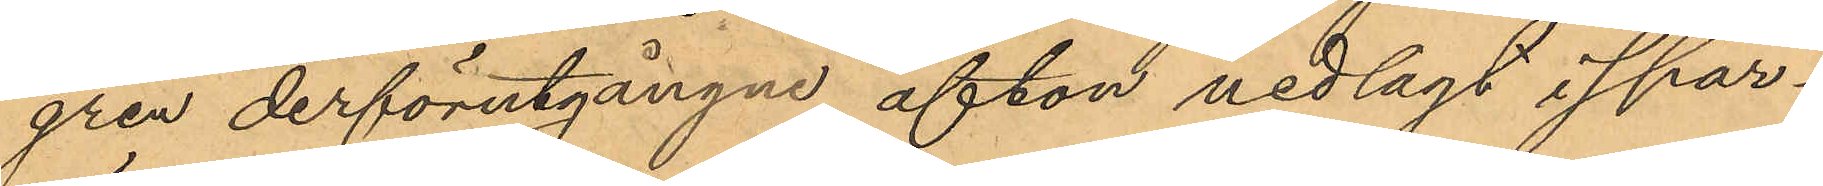gren derförutgångne afton nedlagt i spar¬
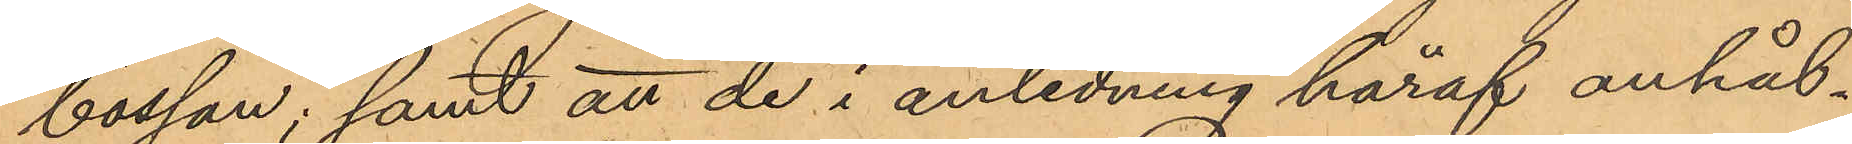bössan; samt att de i anledning häraf anhål¬
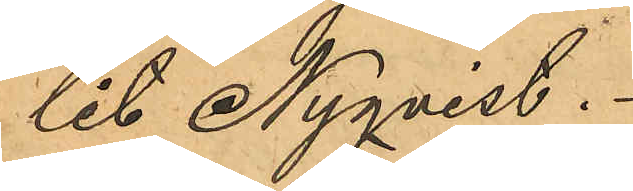lit Nyqvist.
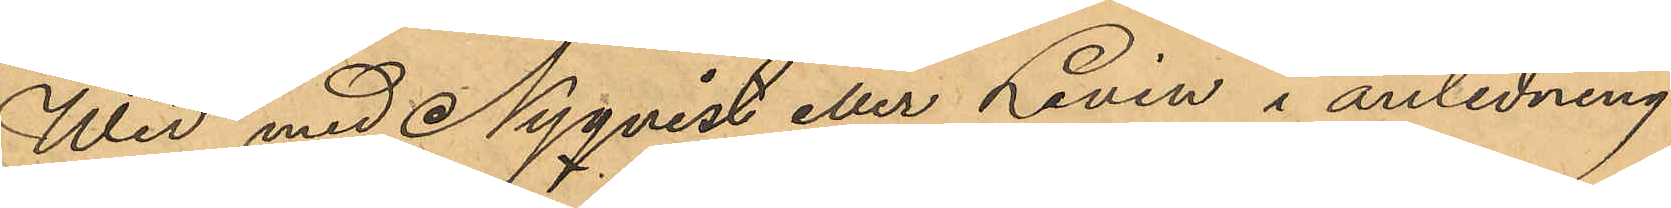Wid med Nyqvist eller Levin i anledning
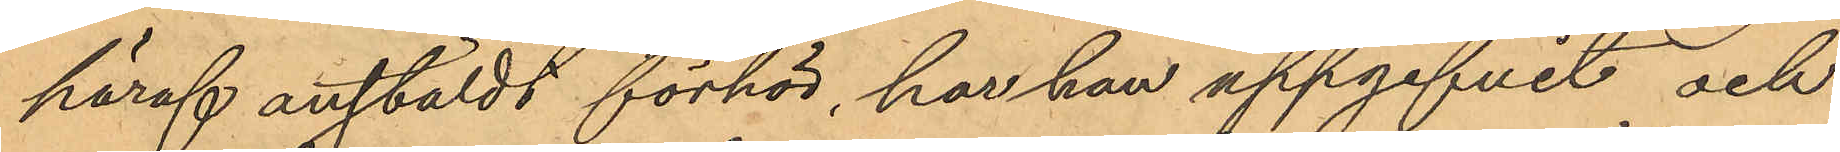häraf anstäldt förhör, har han uppgifvit och
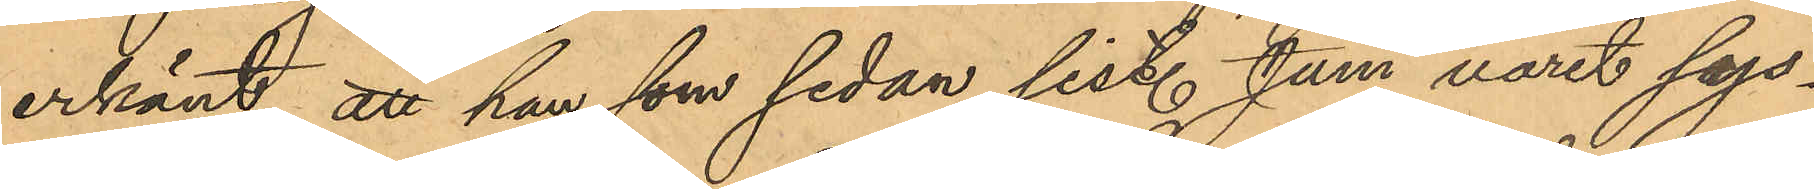erkänt, att han som sedan sist. Juni varit sys¬
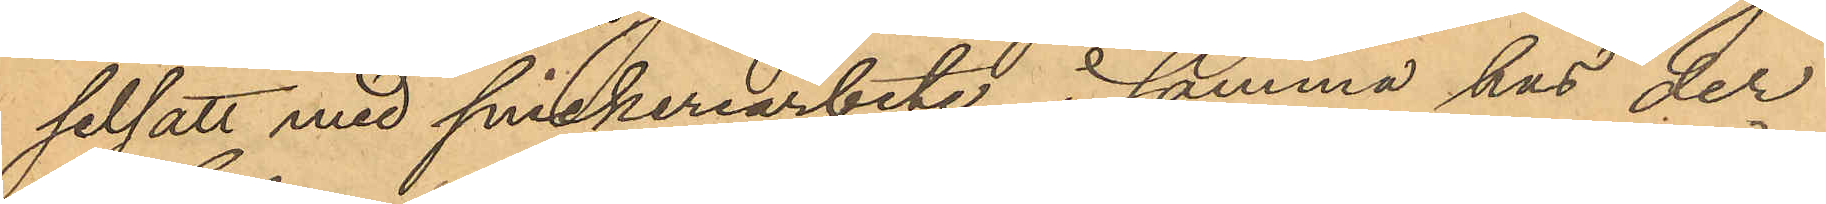selsatt med snickeriarbete i samma hus der
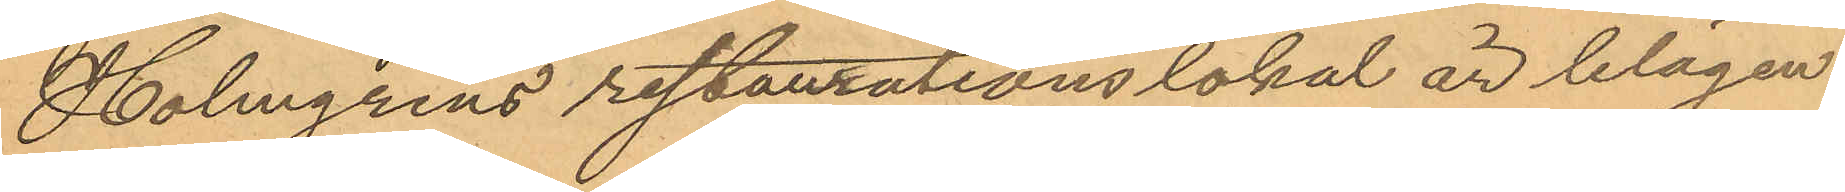Holmgrens restaurationslokal är blägen
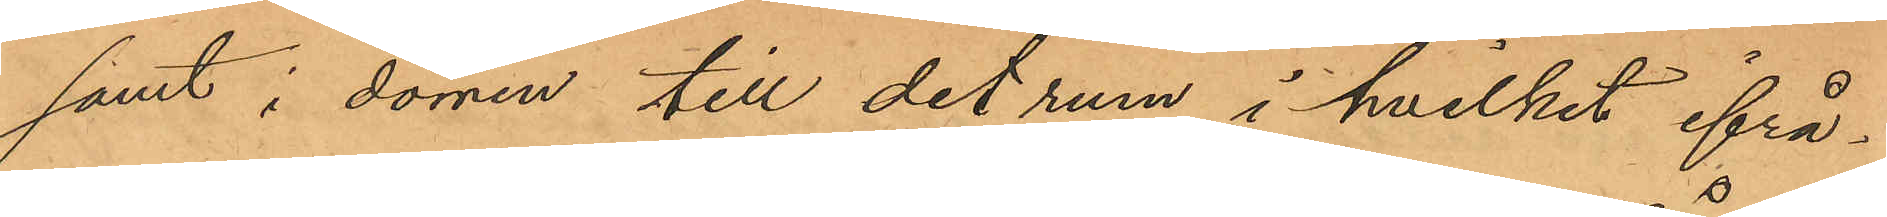samt i dörren till det rum i hvilket ifrå¬
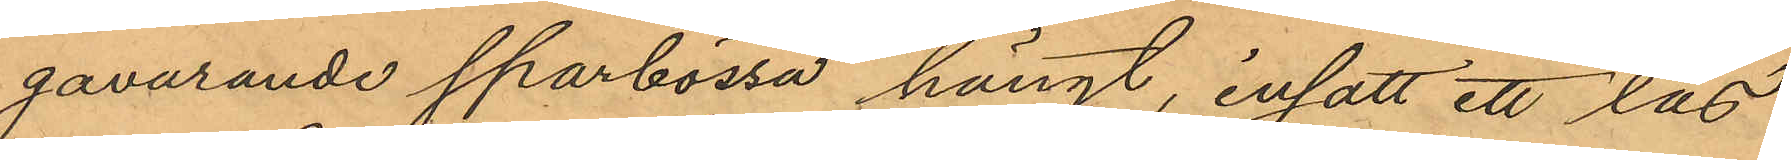gavarande sparbössa hängt, insatt ett lås
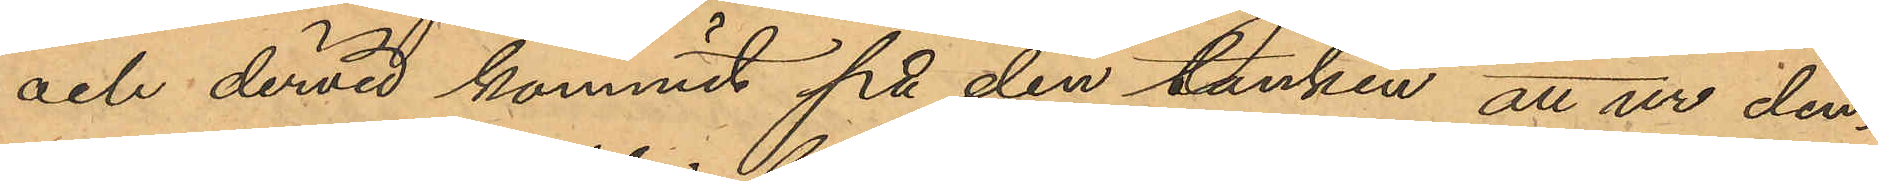och dervid kommit på den tanken, att ur den¬
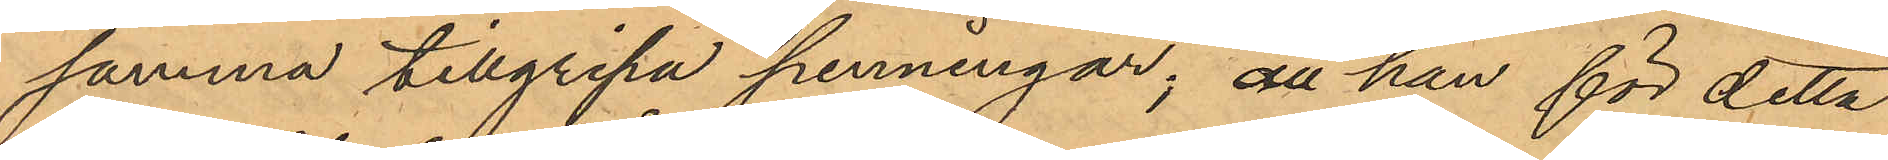samma tillgripa penningar; att han för detta
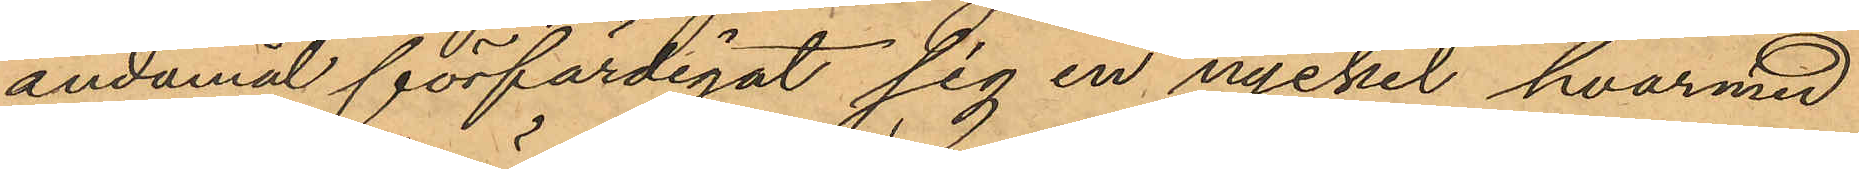ändamål förfärdigat sig en nyckel, hvarmed
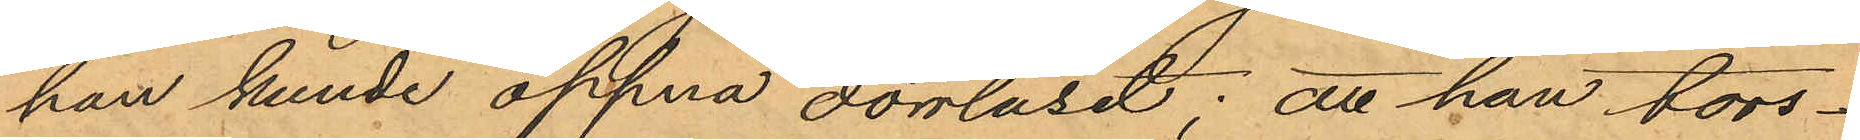han kunde öppna dörrlåset; att han tors¬
